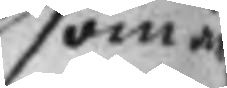som är
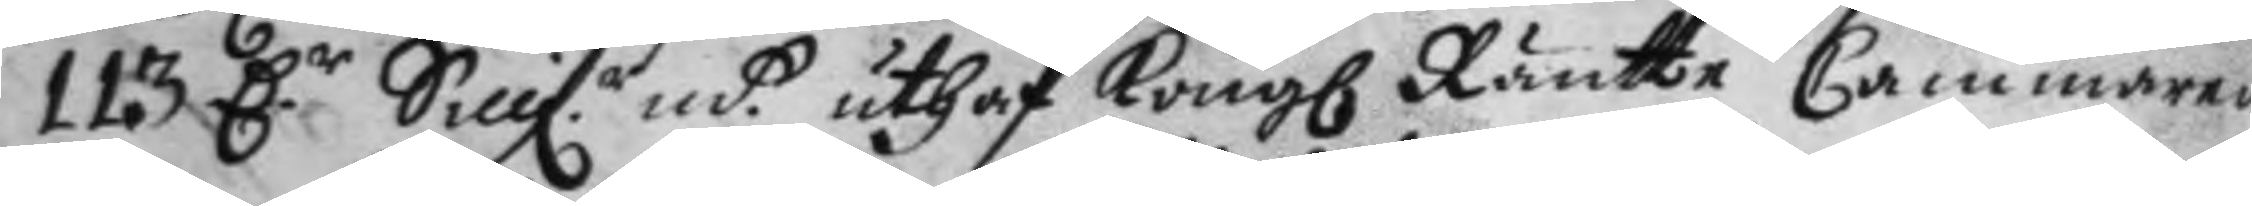113 D.r Sillfr. mt. uthaf Kong Ränte Cammaren
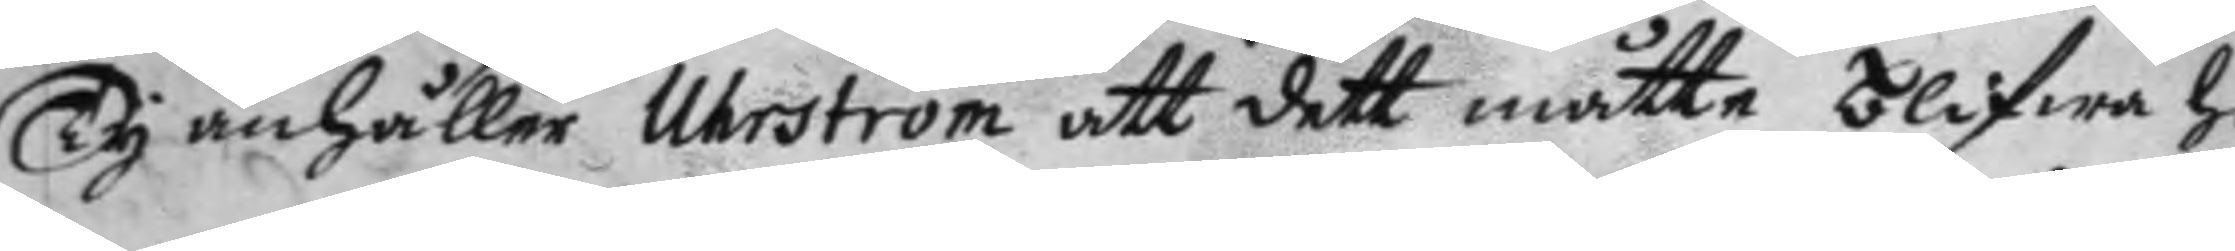Ty anhåller Uhrström att dett måtte blifwa ho¬
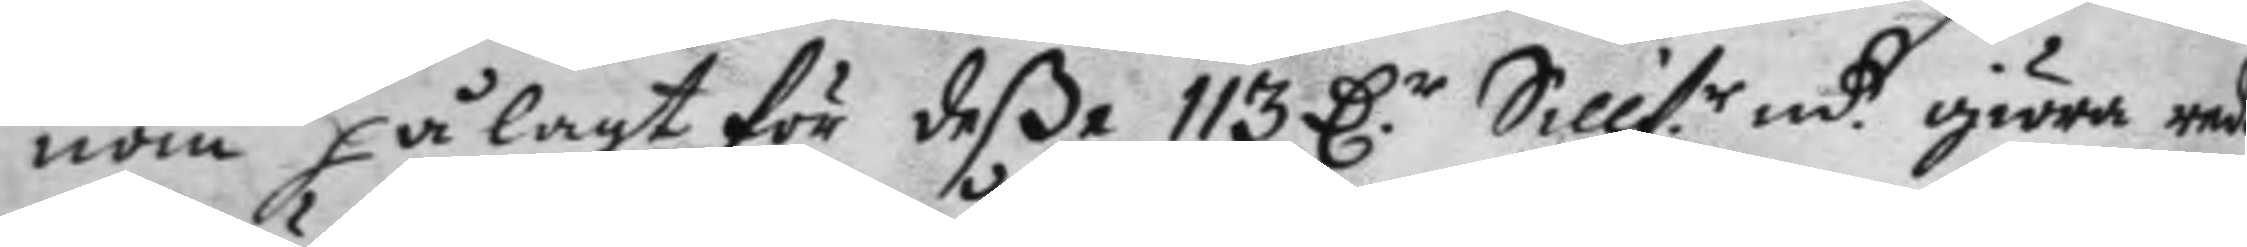nom pålagt för deße 113 D.r Sillf.r mt giöra red
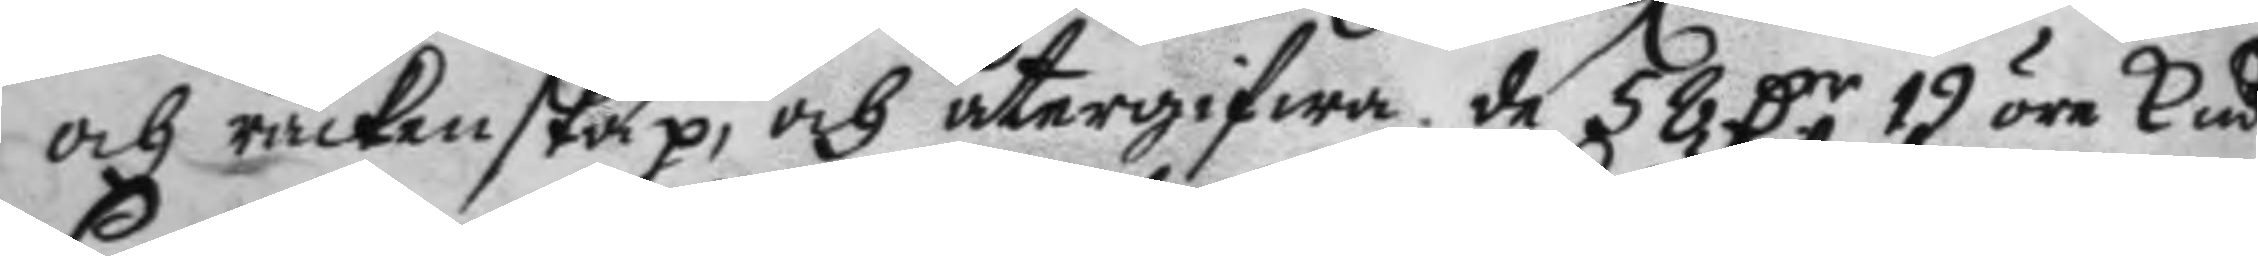och räckenskap, och återgifwa. de 58 Dr 19 öre Kmt
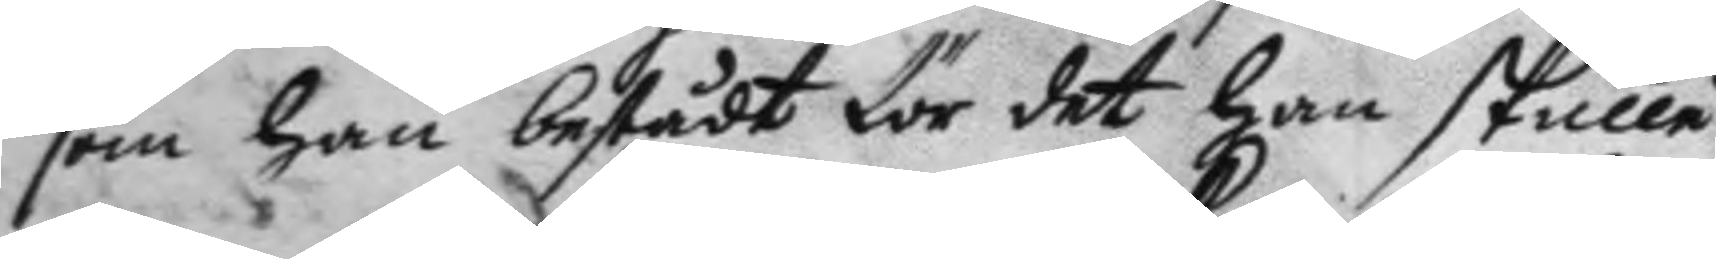som han bestådt för det han skulle
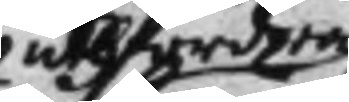uthfordra
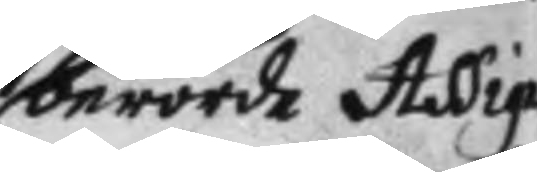berörde Assig¬
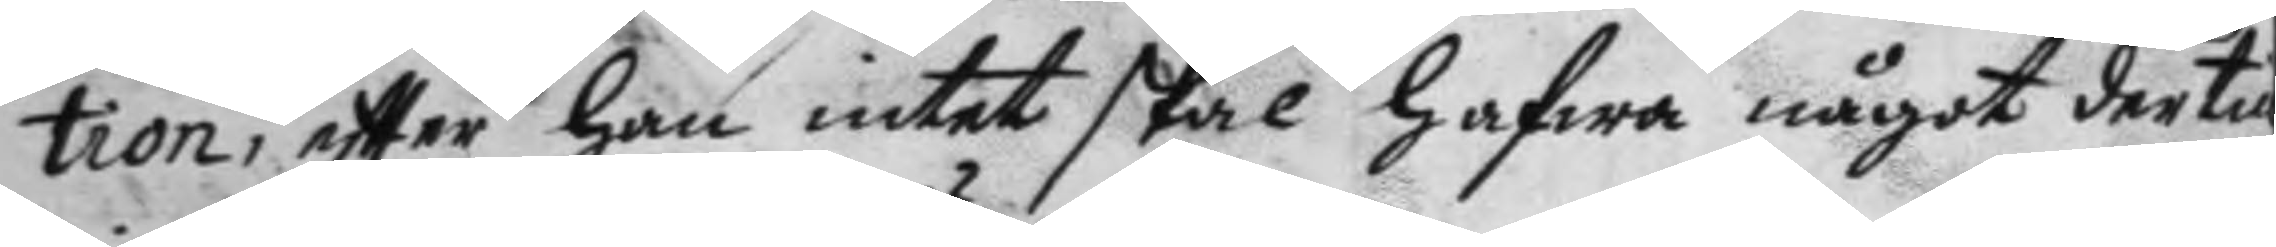tion, eftter han intet skal hafwa något dertill
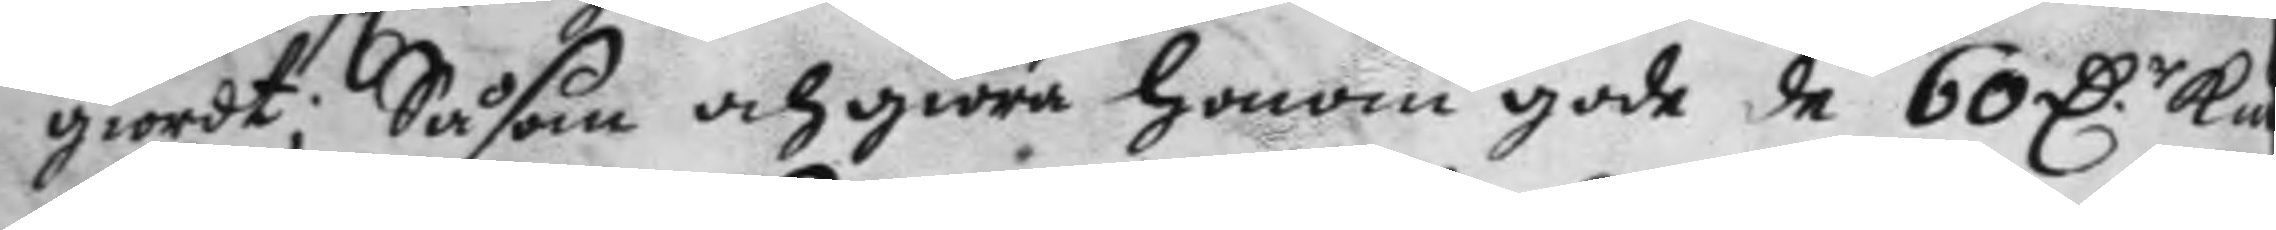giordt; Såsom och giöra honom gode de 60 D.r Kmt
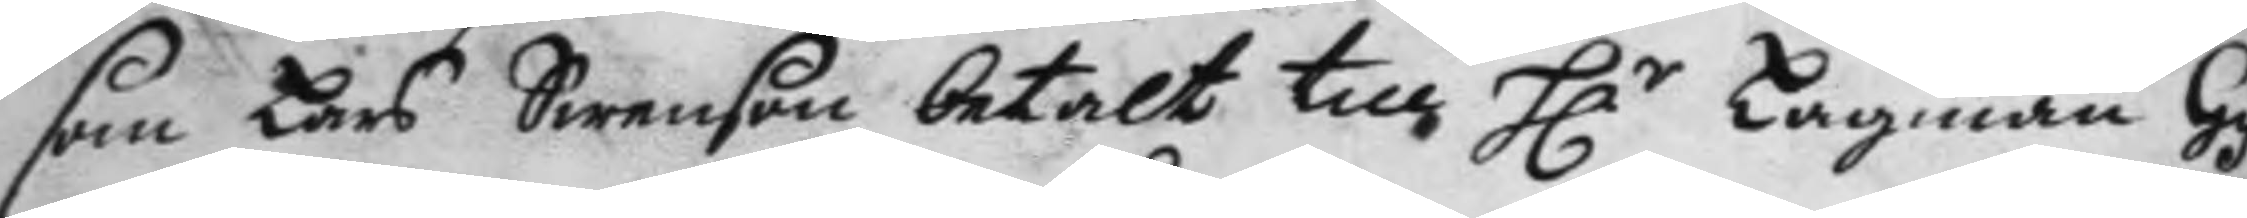som Lars Swenson betalt till H.r Lagman Gyl¬
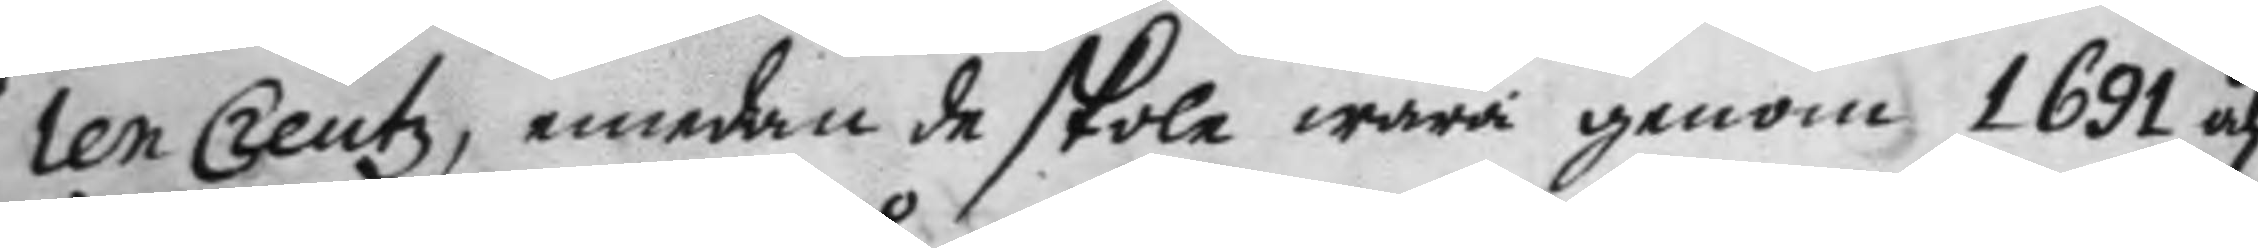len Creutz, emedan de skole wara genom 1691 åhr
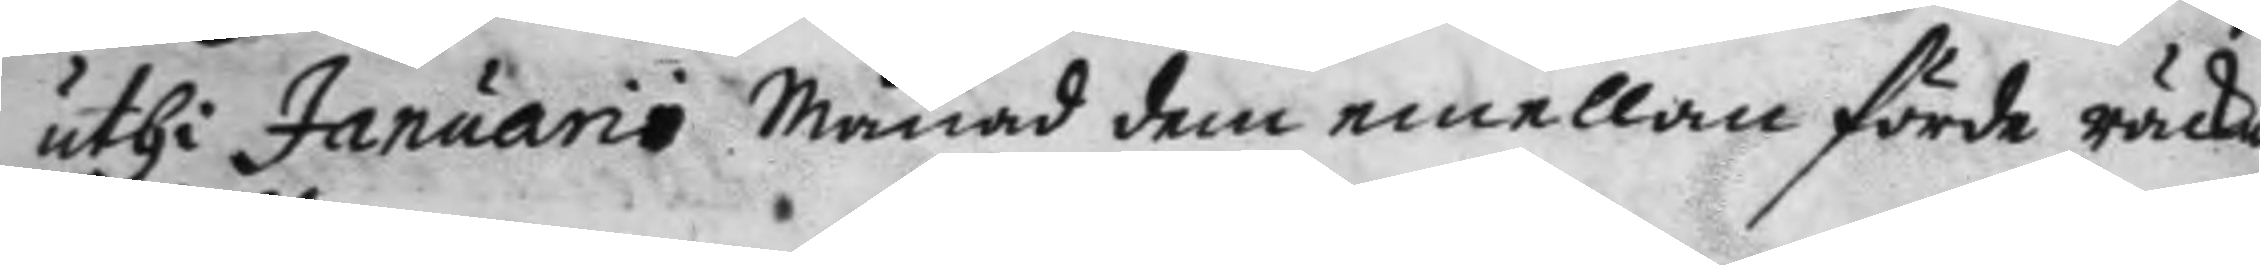uyhi Januario Månad dem emellan förde räckn
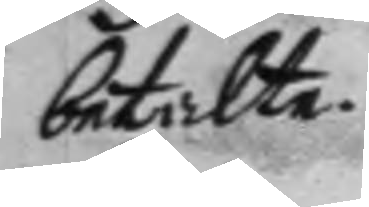betalte.
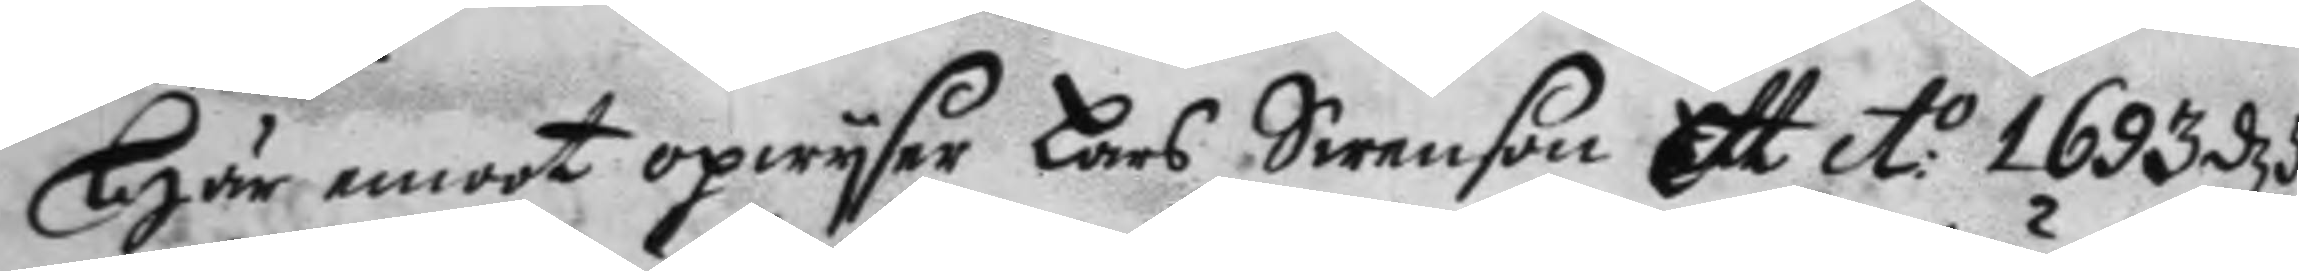Här emoot opwyser Lars Swenson Ett A:o 1693 d 5
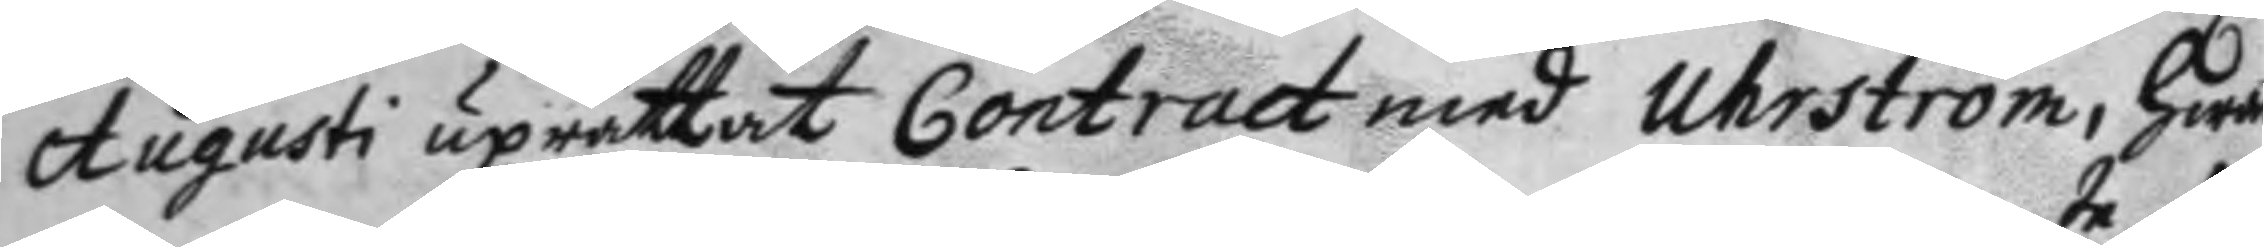Augusti upräyyay Contract med Uhrström, hwar
